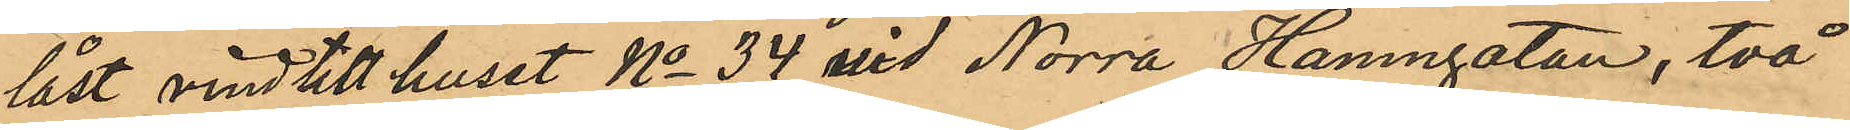låst vind till huset No 34 vid Norra Hamngatan, två
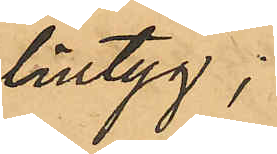lintyg;
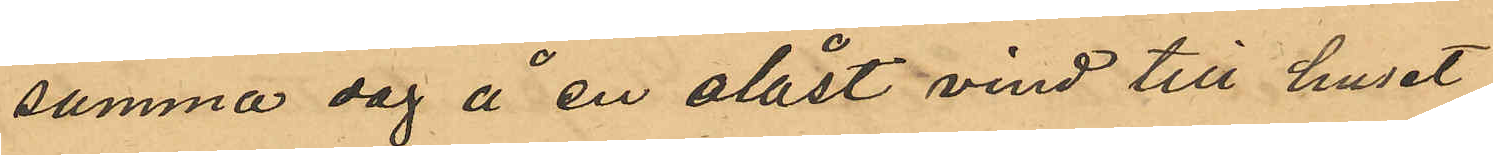samma dag å en olåst vind till huset
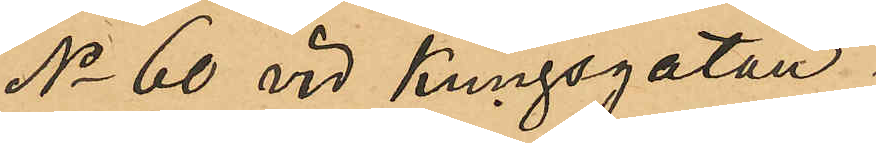No 60 vid Kungsgatan.
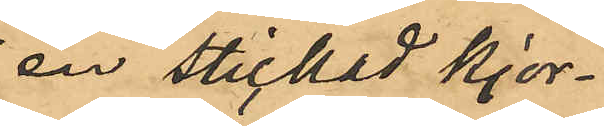en stickad kjor¬
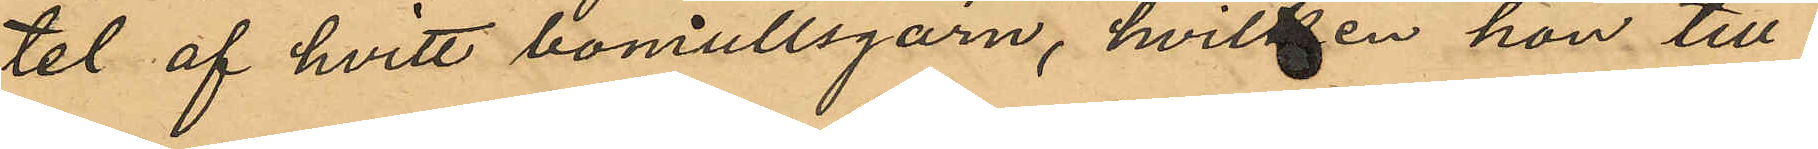tel af hvitt bomullsgarn, hvilken hon till¬
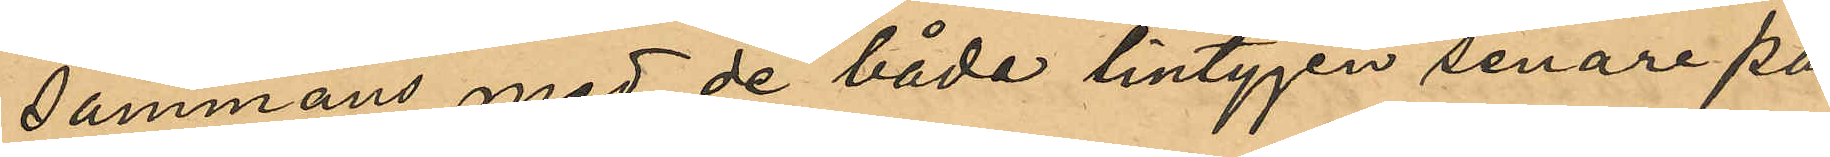sammans med de båda lintygen senare på
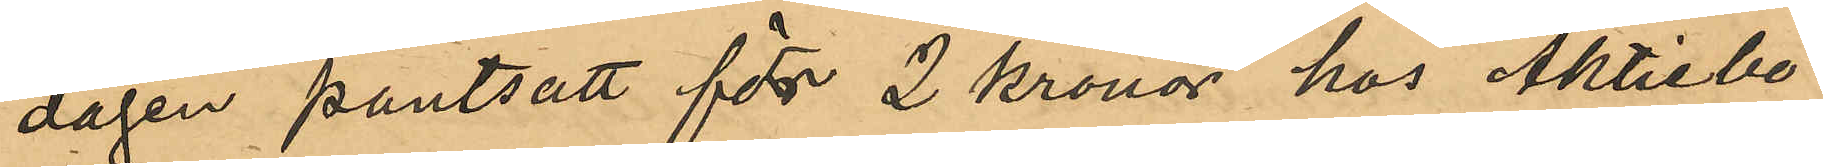dagen pantsatt för 2 kronor hos Aktiebo¬
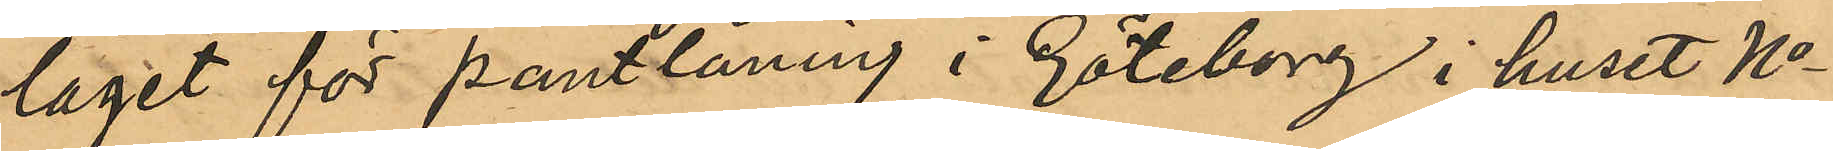laget för pantlåning i Göteborg i huset No
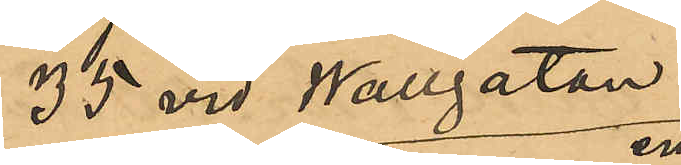35 vid Wallgatan;
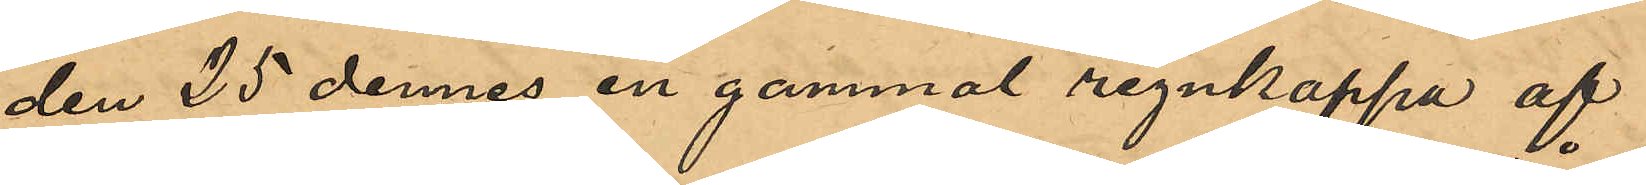den 25 dennes en gammal regnkappa af
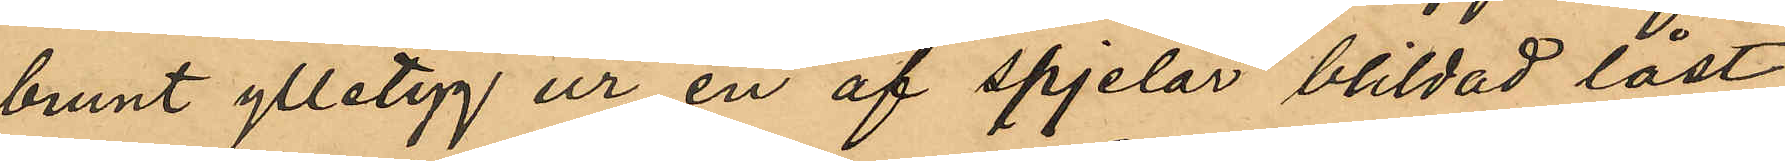brunt ylletyg ur en af spjelor blildad låst
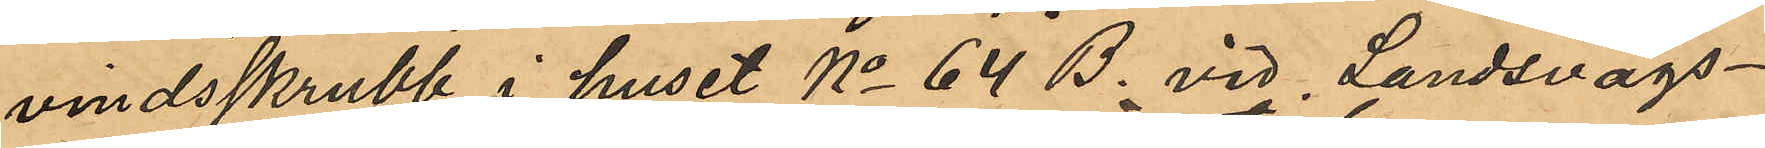vindsskrubb i huset No 64 B. vid Landsvägs¬
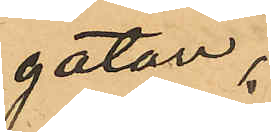gatan;
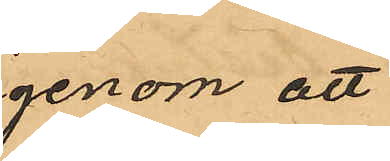genom att
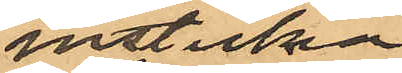insticka
